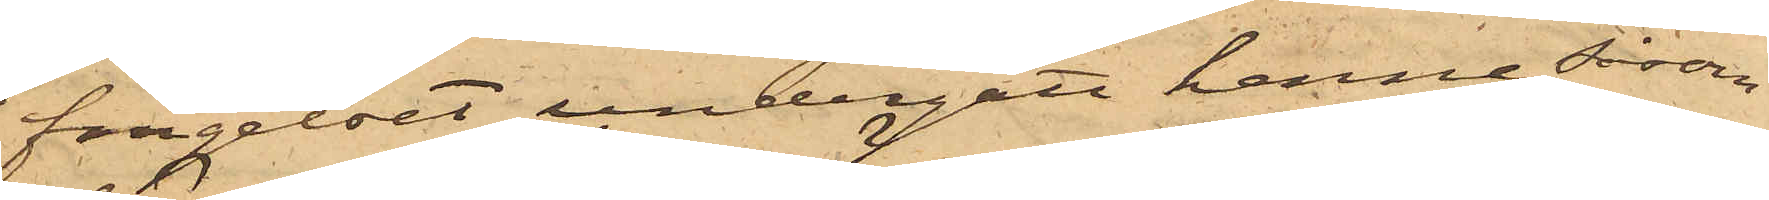fängelset undergått henne såsom
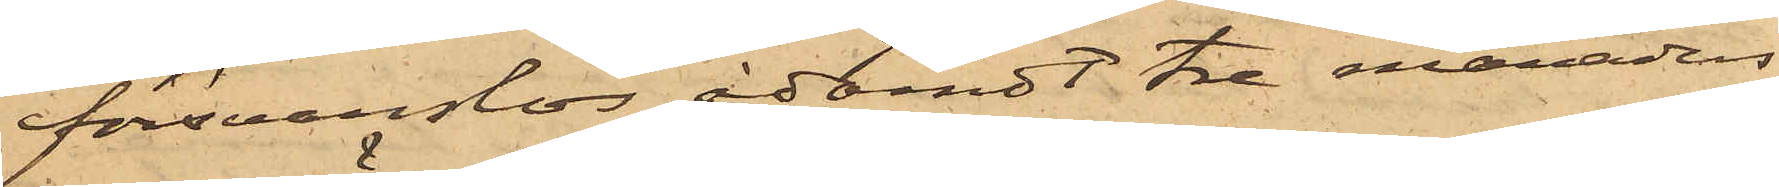försvarslös ådömdt tre månaders
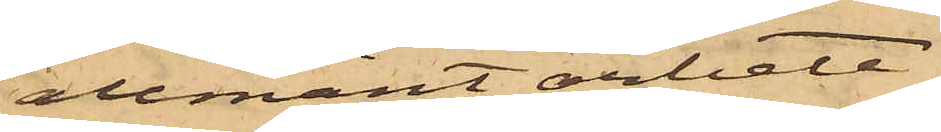allmänt arbete.
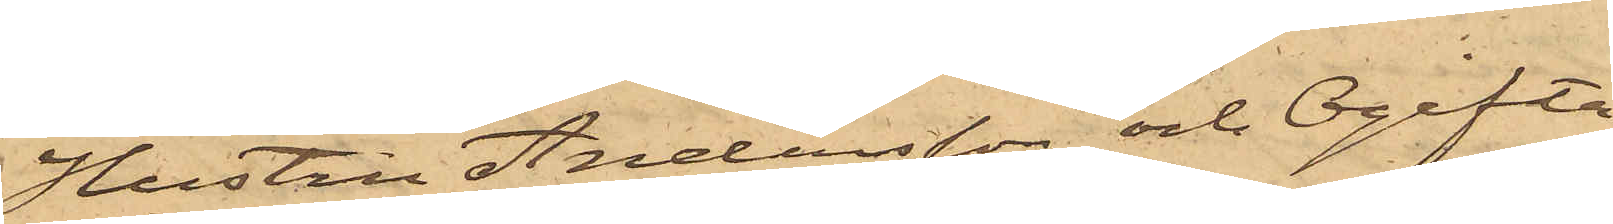Hustru Andersson och Ogifta
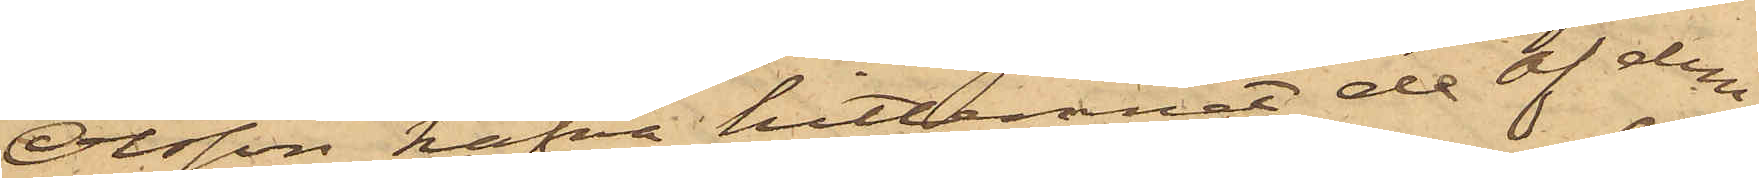Olsson hafva hitlemnat de af dem
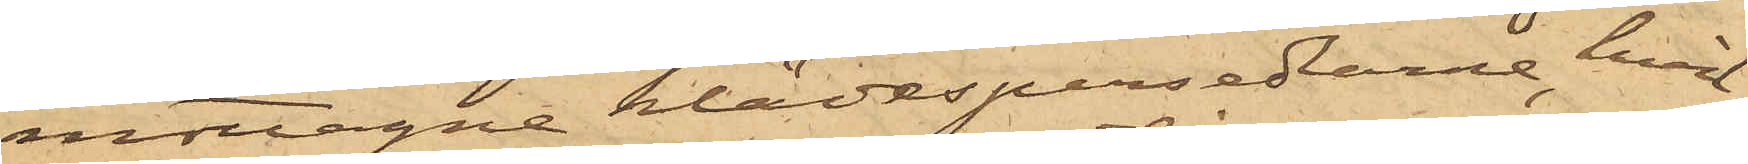mottagne klädespersedlarne hvil¬
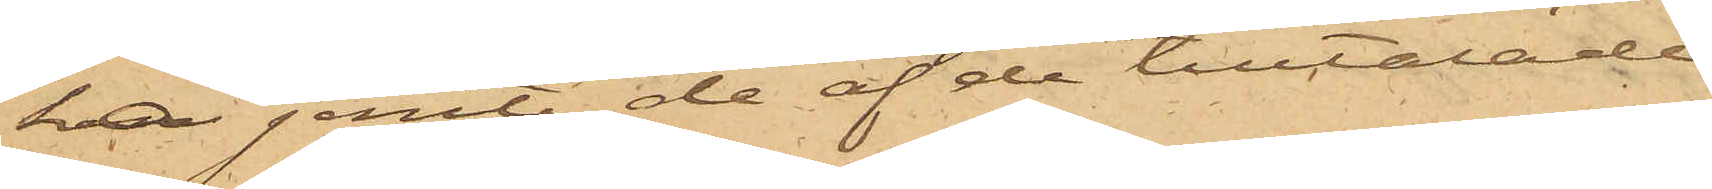ka jemte de af de tilltalade
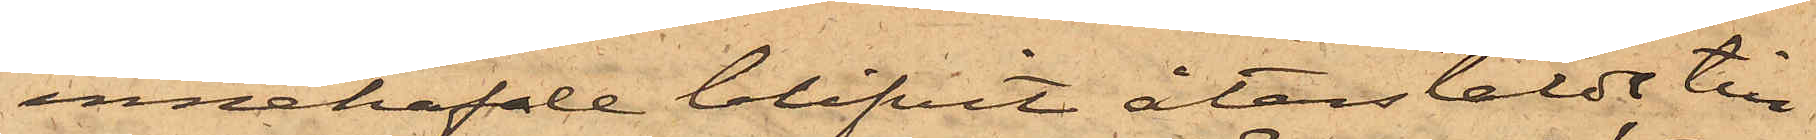innehafde blifvit återstäldt till
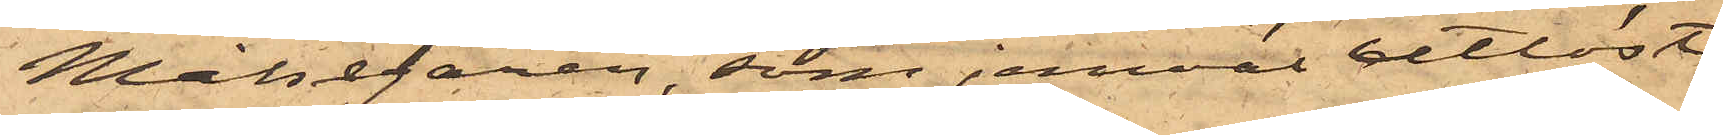Målsegaren, som jemväl utlöst
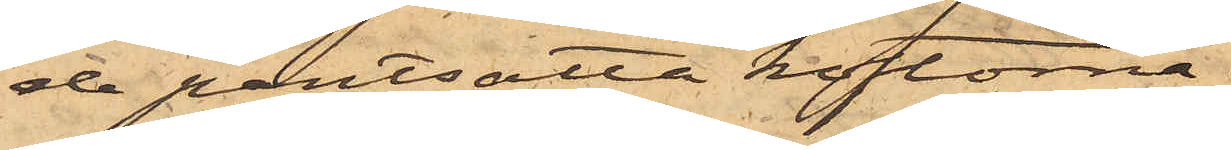de pantsatta koftorna.
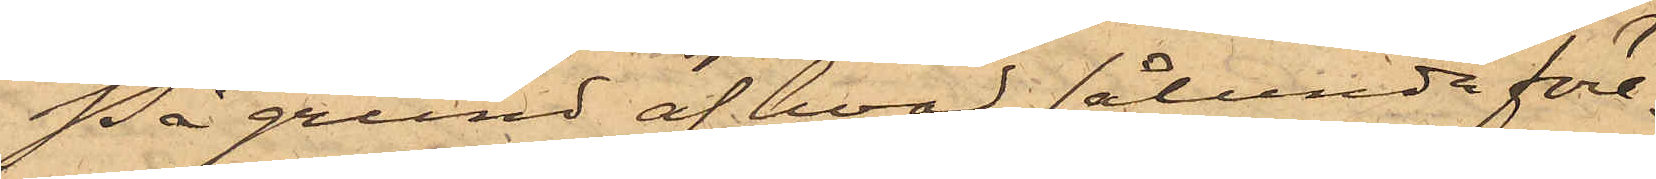På grund af hvad sålunda före¬
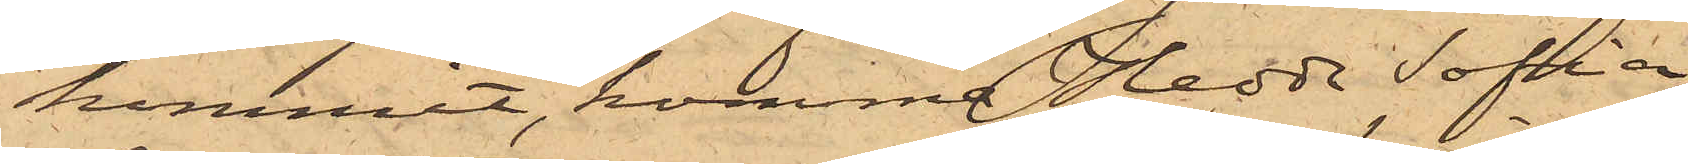kommit, komma Hedda Sofia
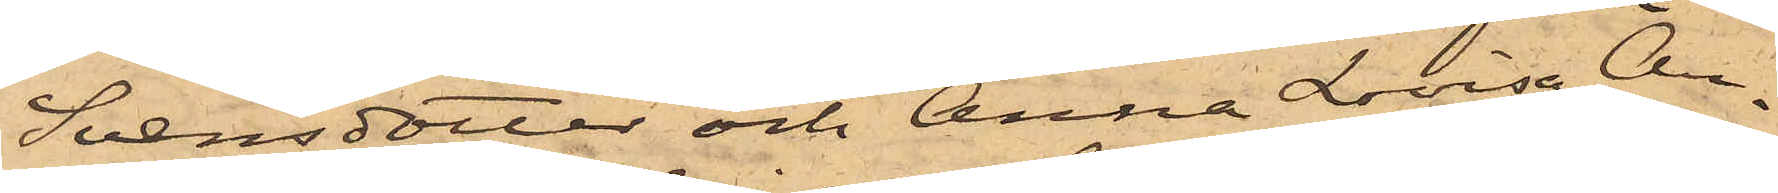Svensdotter och Anna Lovisa An¬
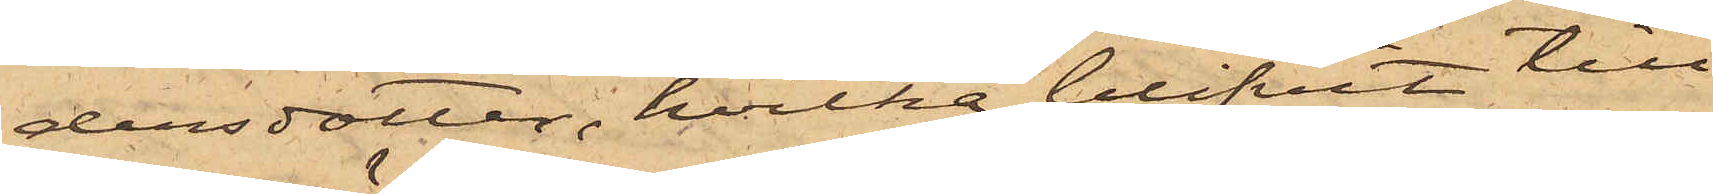dersdotter, hvilka blifvit till
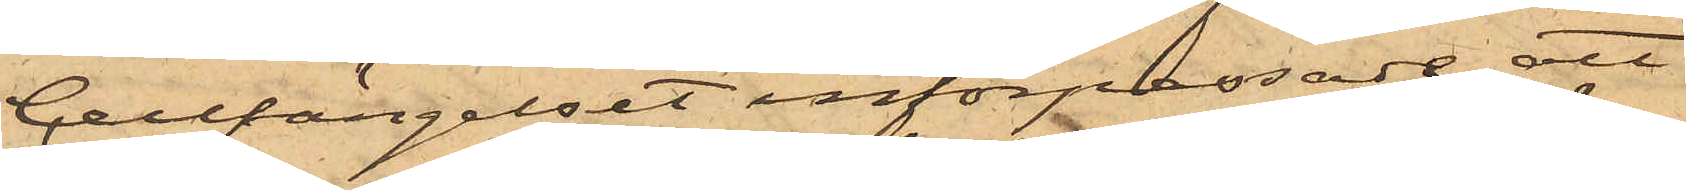Cellfängelset införpassade, att
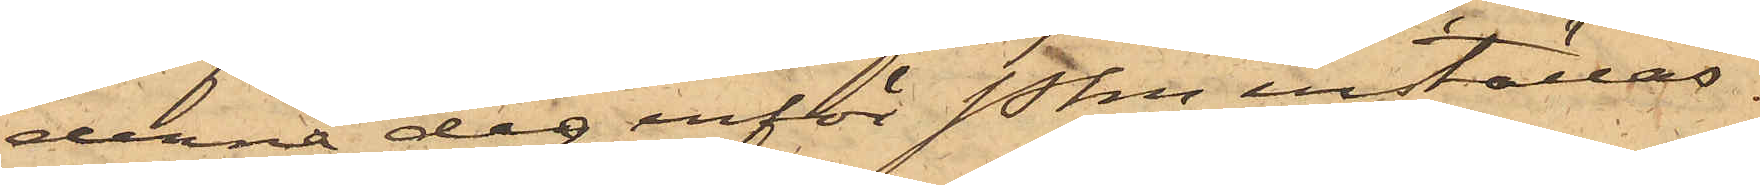denna dag inför Pkn inställas.
